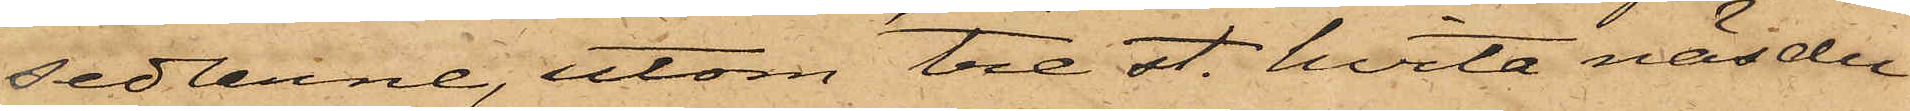sedlarne, utom tre st. hvita näsdu¬
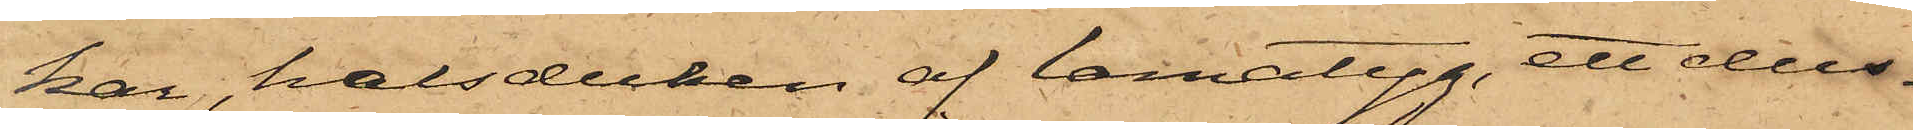kar, halsduken af lamatyg, ett dus¬
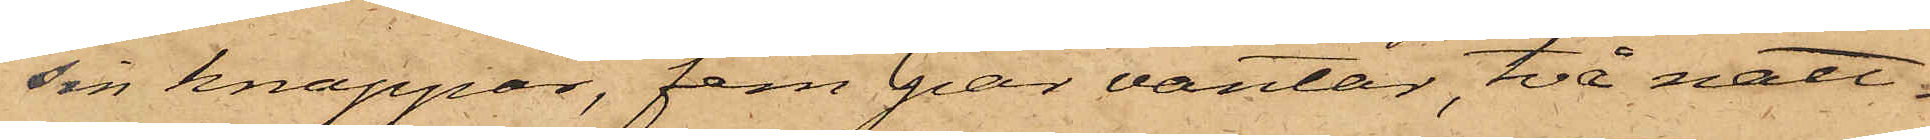sin knappar, fem par vantar, två natt¬
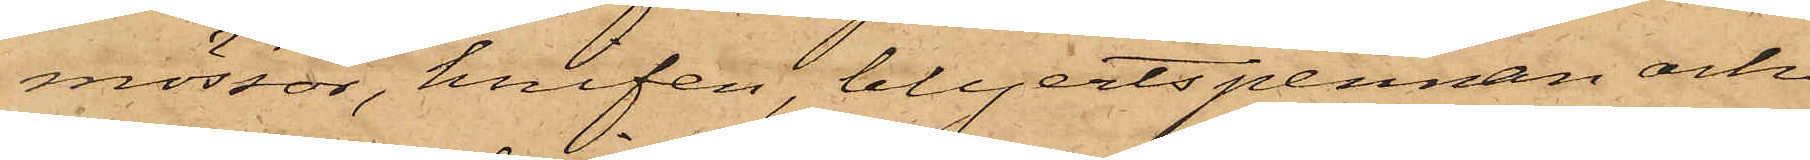mössor, knifen, blyertspennan och
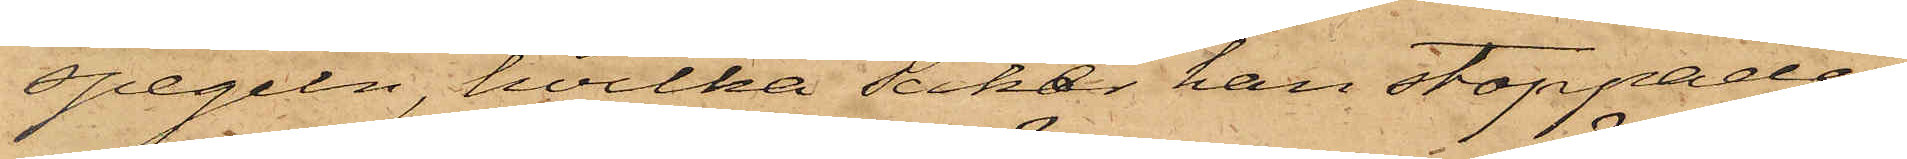spegeln, hvilka saker han stoppade i
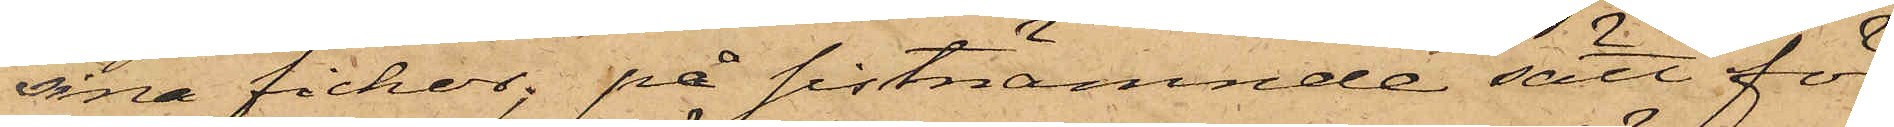sina fickor; på sistnämnde sätt för¬
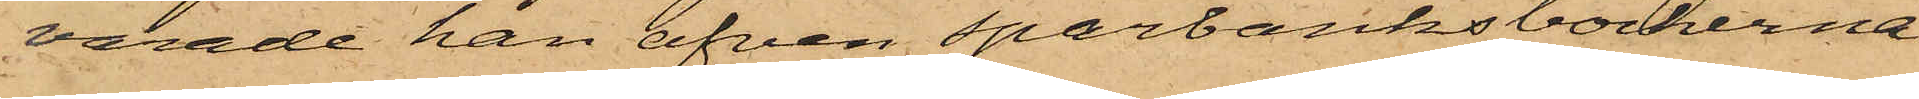varade han äfven sparbanksböckerna
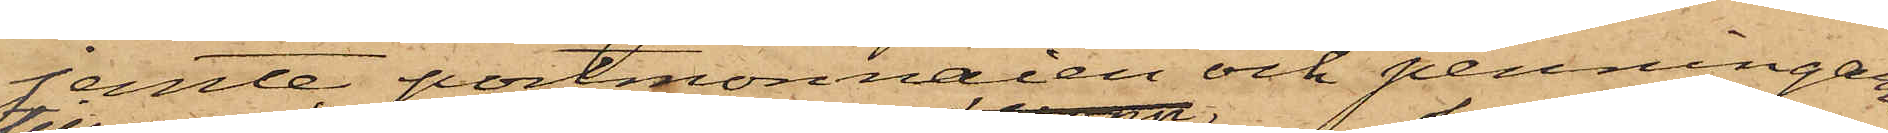jemte portmonnaien och penningarne,
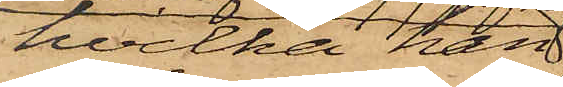hvilka han
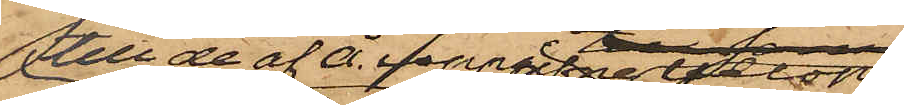till de af Å. uppgifne belopp
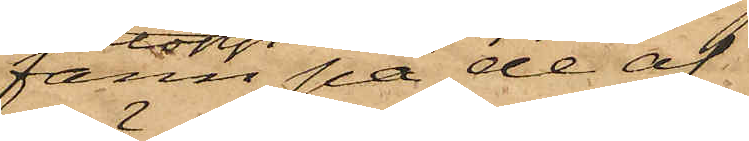fann på de af
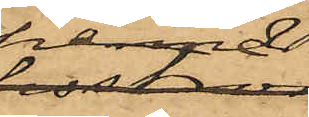henne
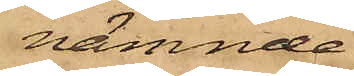nämnde
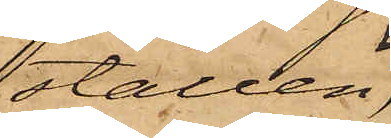ställen;
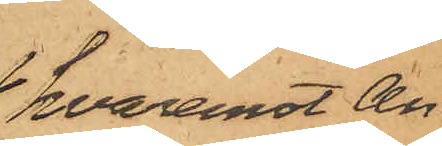hvaremot An¬
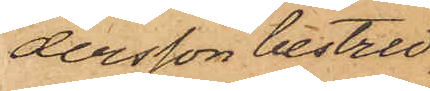dersson bestred
